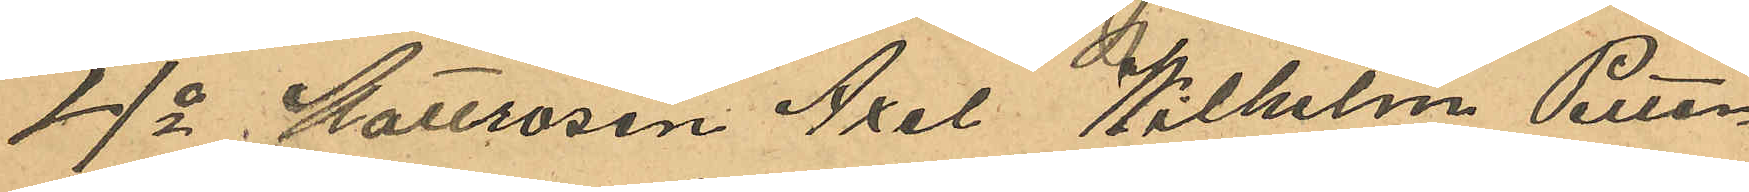4o Mattrosen Axel Wilhelm Petter¬
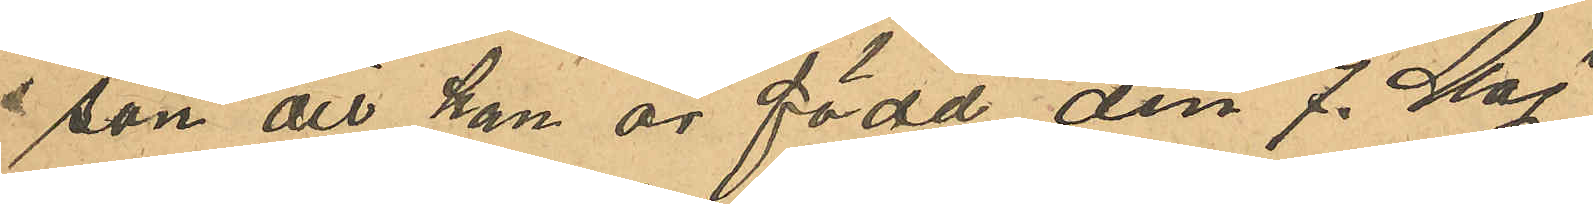son att han är född den 7. Maj
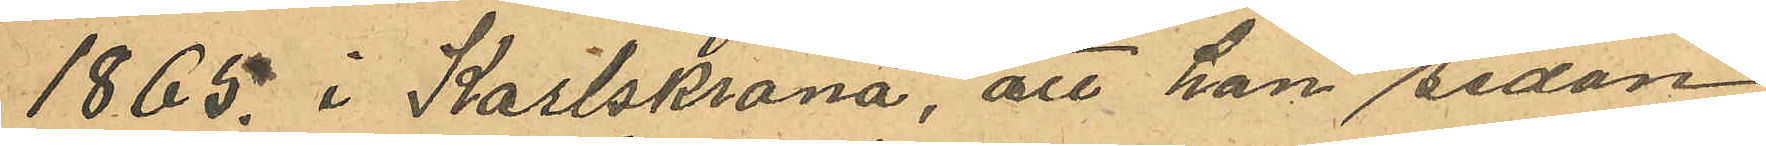1865 i Karlskrona, att han sedan
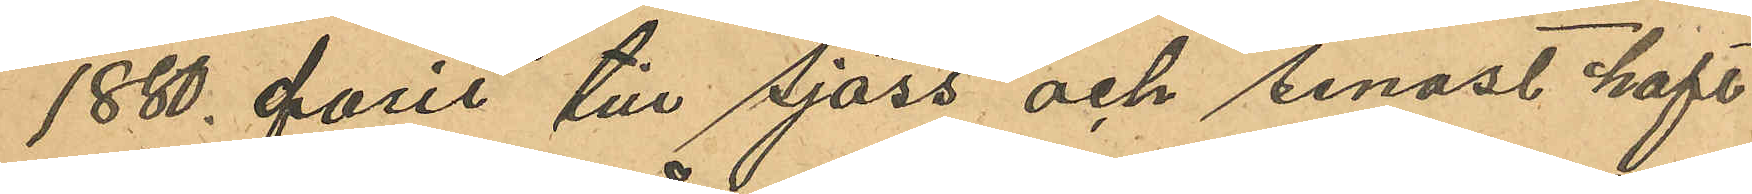1880 farit till sjöss och senast haft
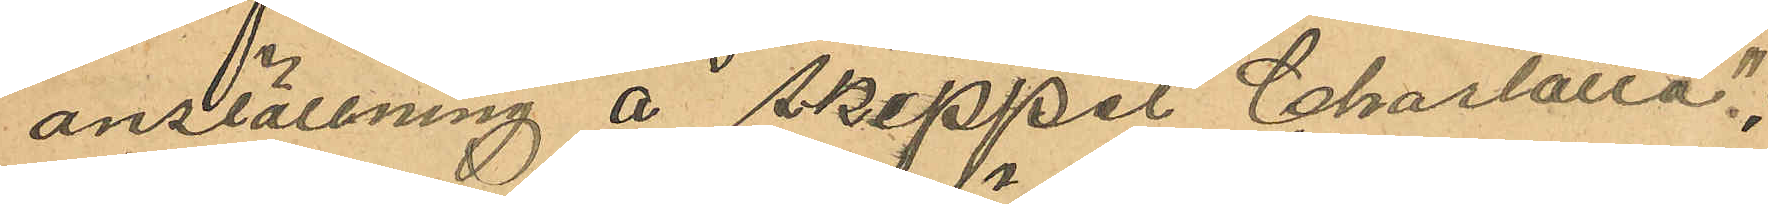anställning å Skeppet "Charlotta";
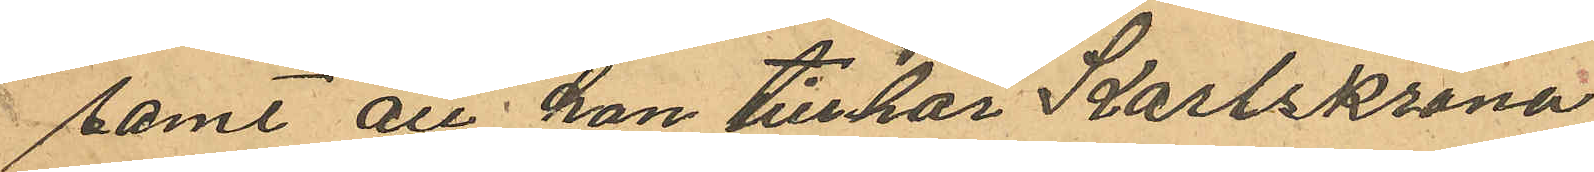samt att han tillhör Karlskrona
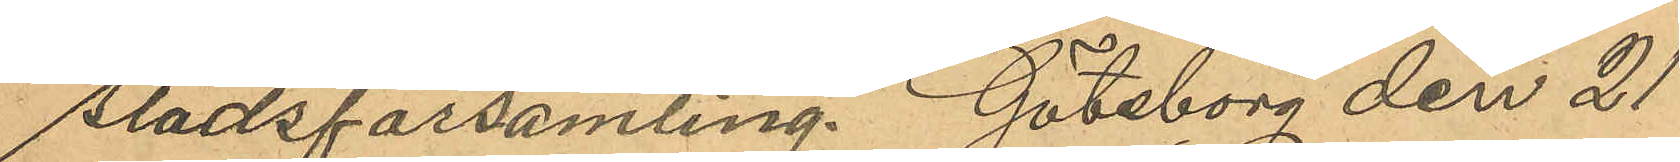Stadsförsamling. Göteborg den 21
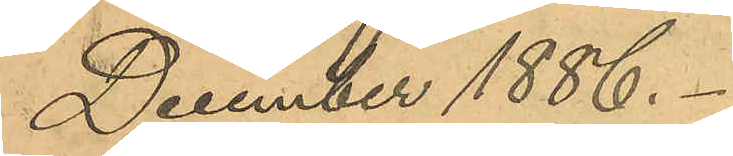December 1886.
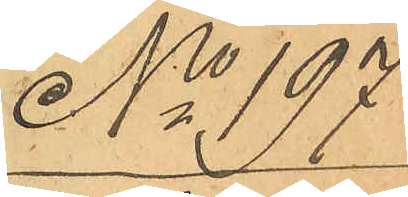No 197
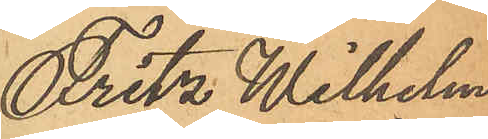Fritz Wilhelm
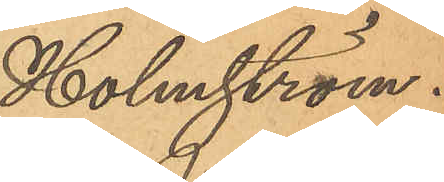Holmström.
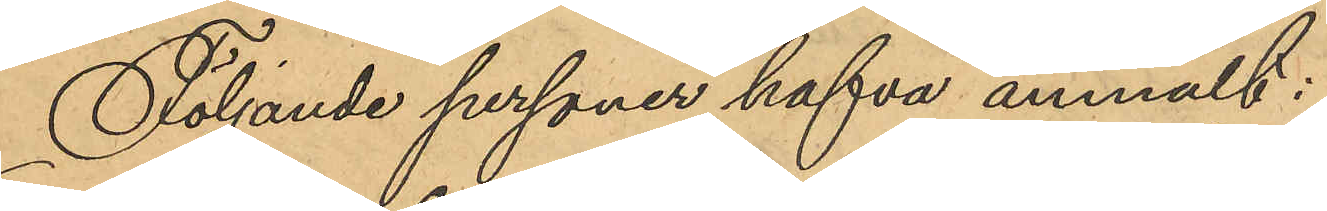Följande personer hafva anmält:
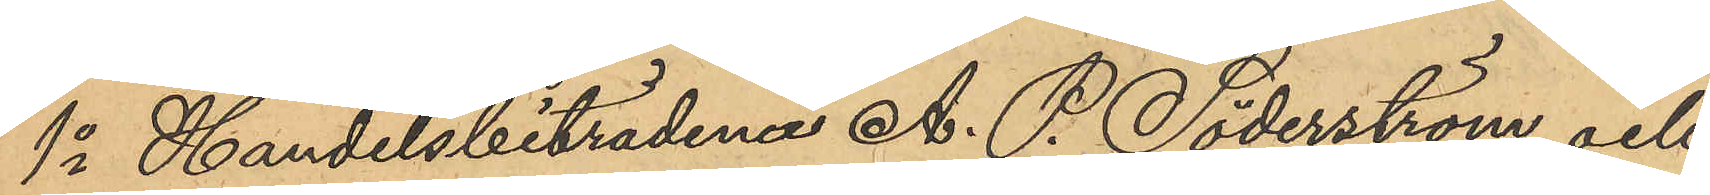1o Handelsbiträdena A. P. Söderström och
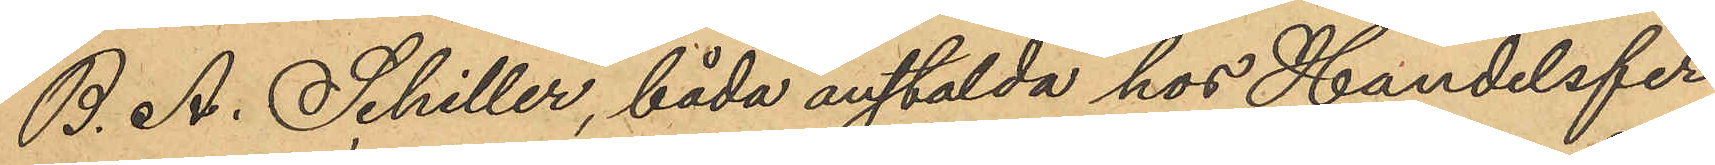B. A. Schiller, båda anstälda hos Handelsfir¬
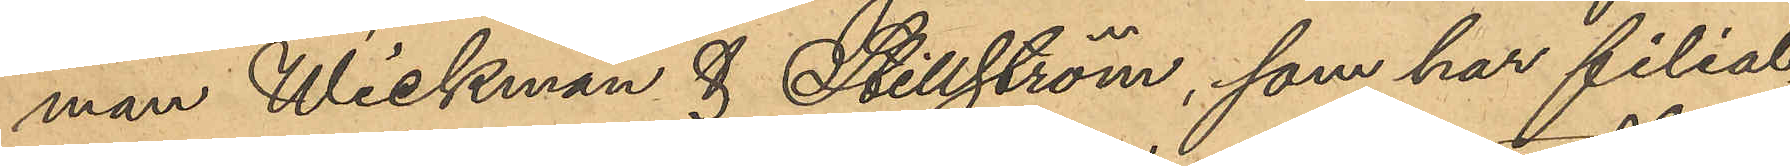man Wickman & Stillström, som har filial¬
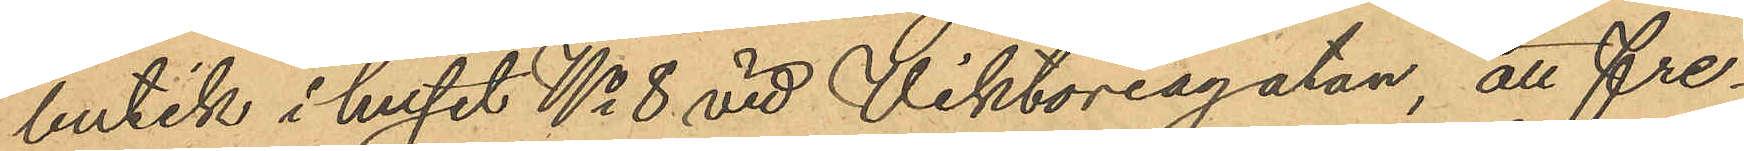butik i huset No 8 vid Viktoriagatan, att fre¬
